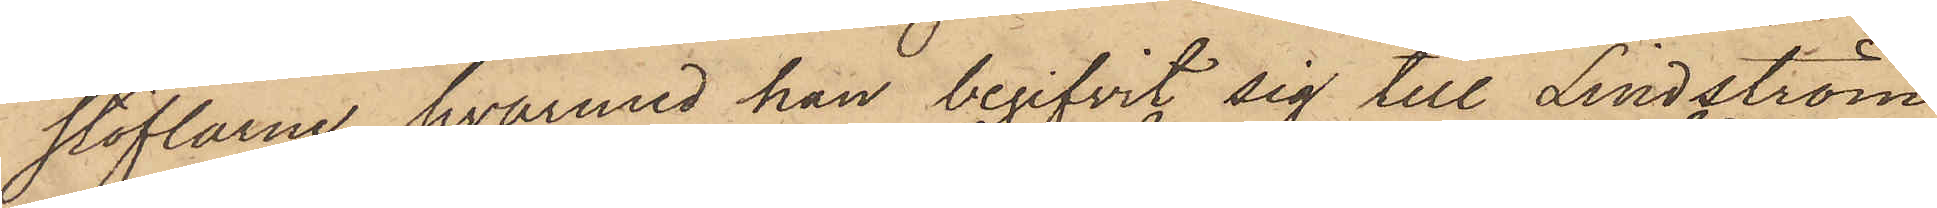stöflarne, hvarmed han begifvit sig till Lindström
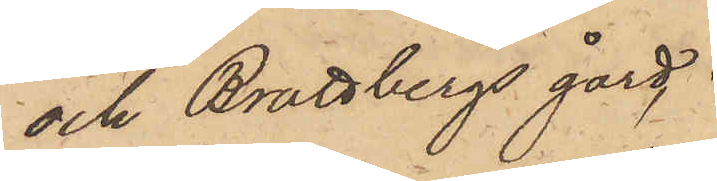och Brattbergs gård,
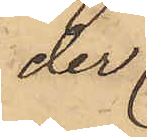der
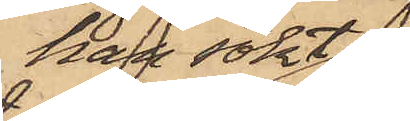han sökt
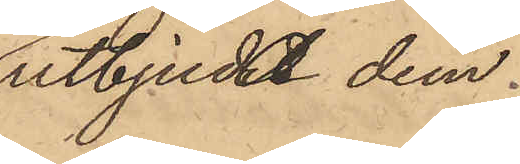utbjuda dem
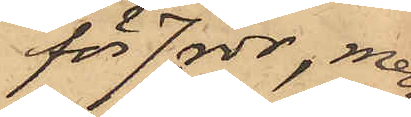för 7 rdr, men
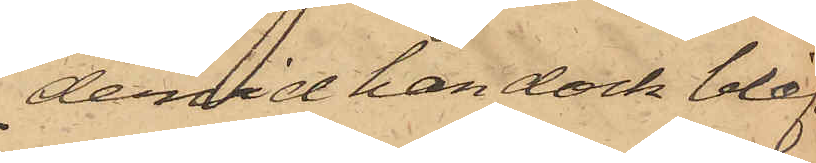dervid han dock blifvit
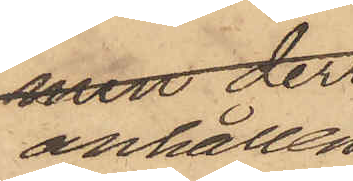anhållen.
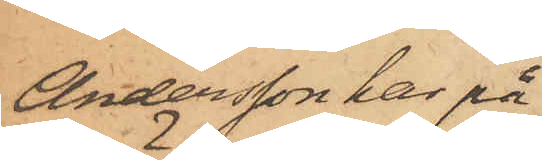Andersson har på
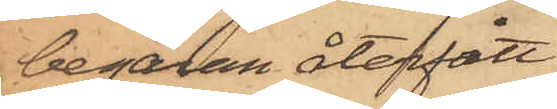begäran återfått
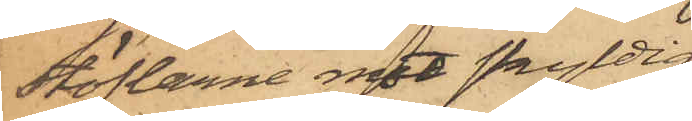stöflarne mot skyldig¬
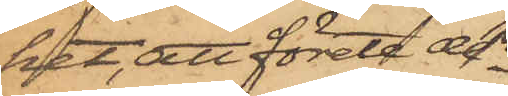het, att förete de¬
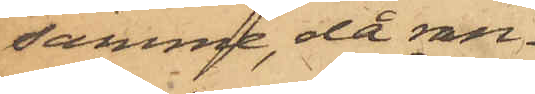samme, då ran¬
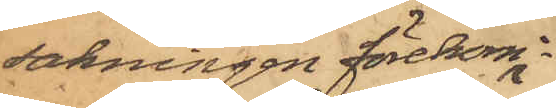sakningen förekom¬
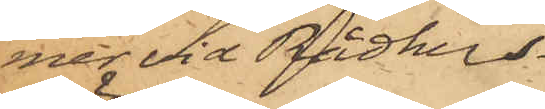mer vid Rådhus¬
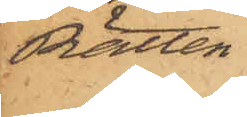Rätten.
